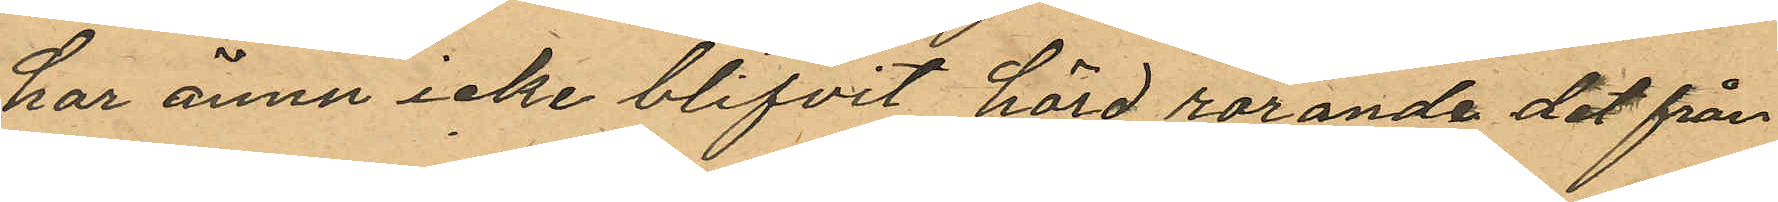har ännu icke blifvit hörd rörande det från
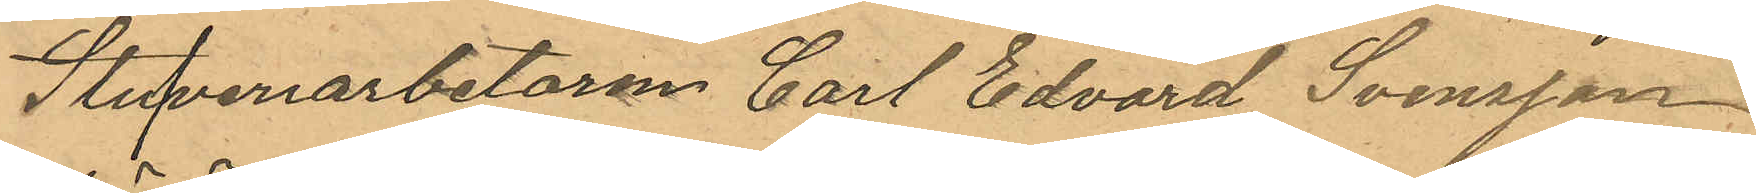Stufveriarbetaren Carl Edvard Svensson
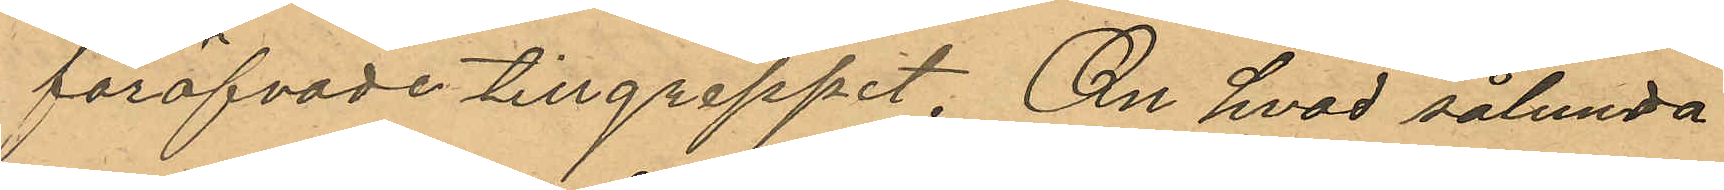föröfvade tillgreppet. Om hvad sålunda
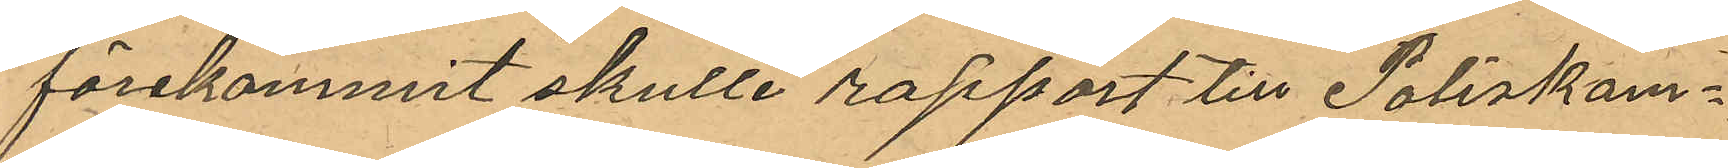förekommit skulle rapport till Poliskam¬
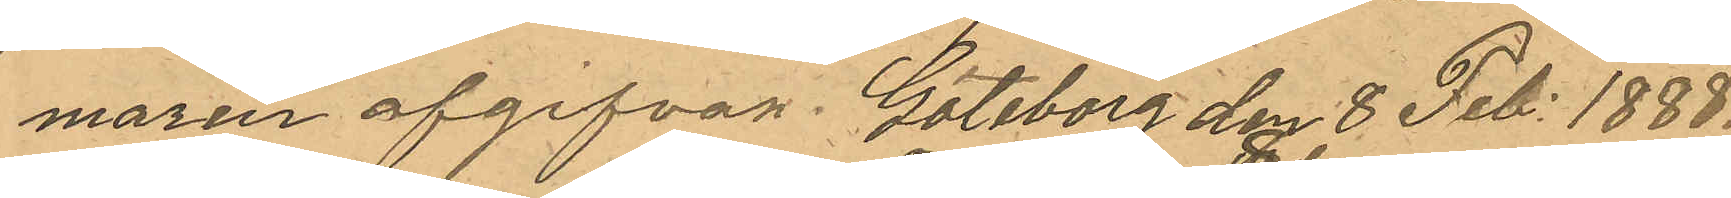maren afgifvas. Göteborg den 8 Feb. 1888.
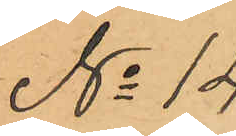No 14. 
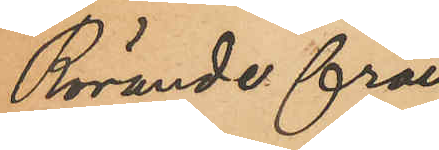Rörande från
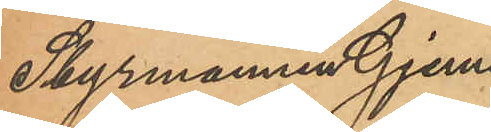Styrmannen Gjems
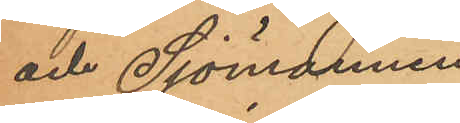och Sjömannen
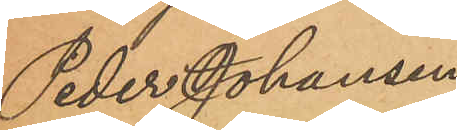Peder Johansen
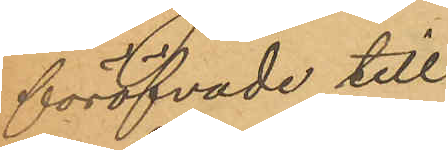föröfvade till¬
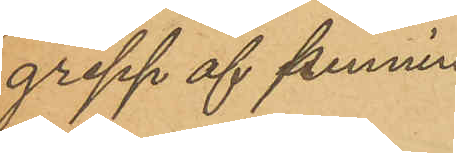grepp af pennin-
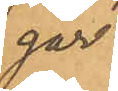gar.
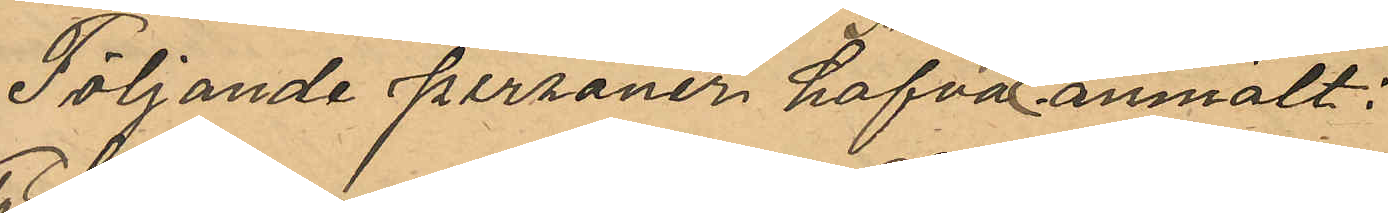 Följande personer hafva anmält:
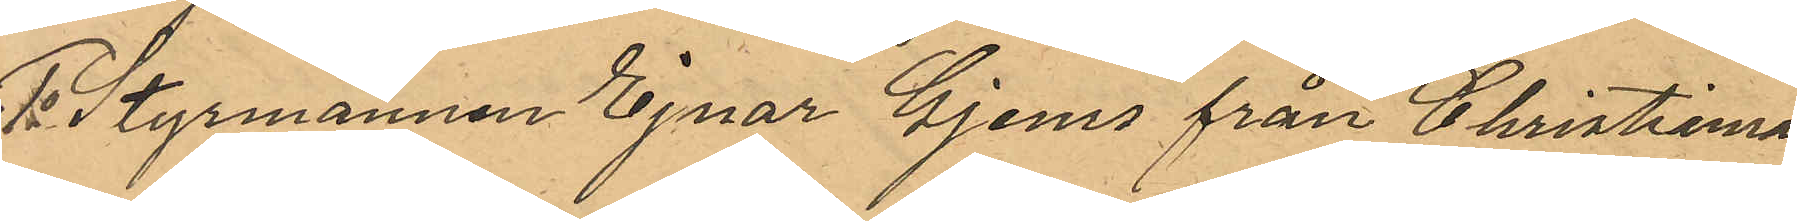1o Styrmannen Ejnar Gjems från Christiania
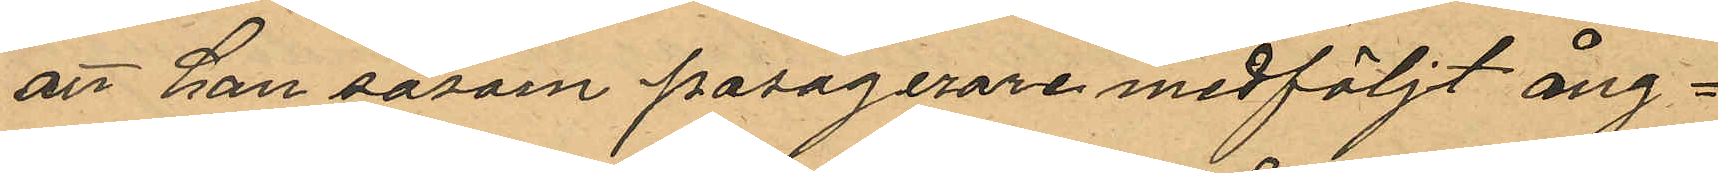att han såsom passagerare medföljt ång¬
